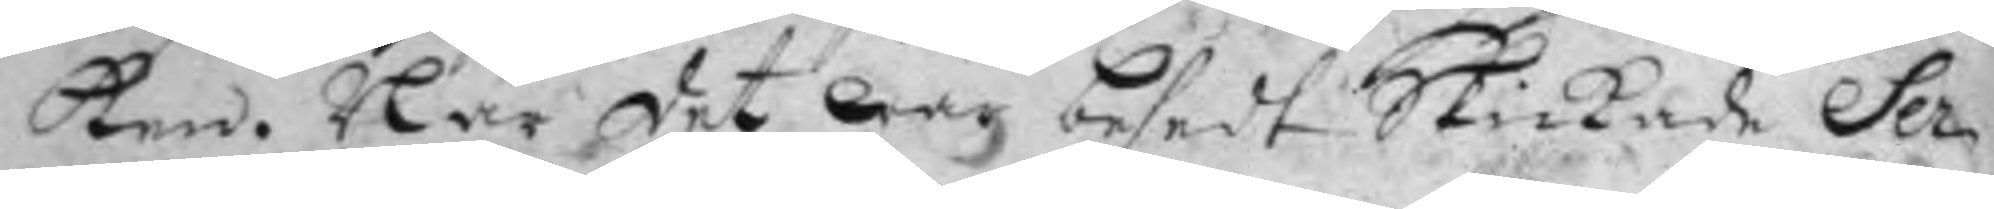ken. När det war besedt Skickade Ser¬
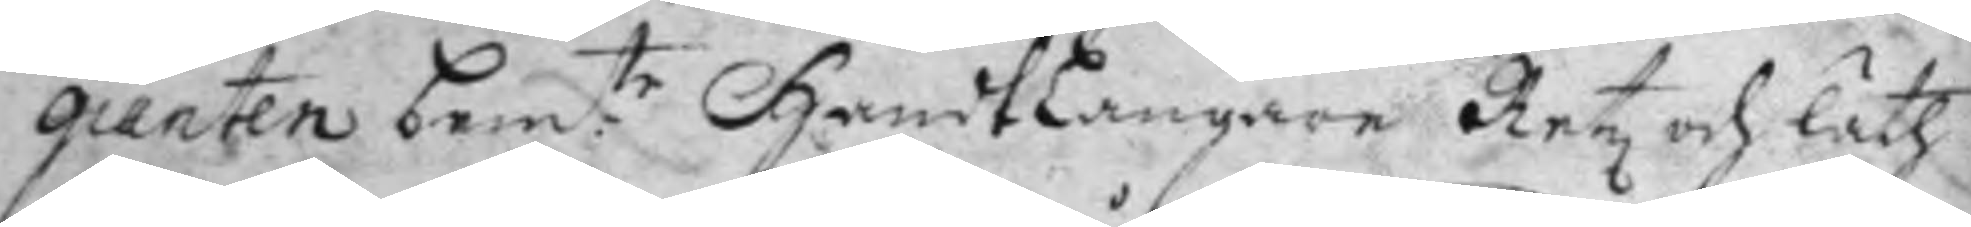gianten bem:te Handtlangaren Retz och läth
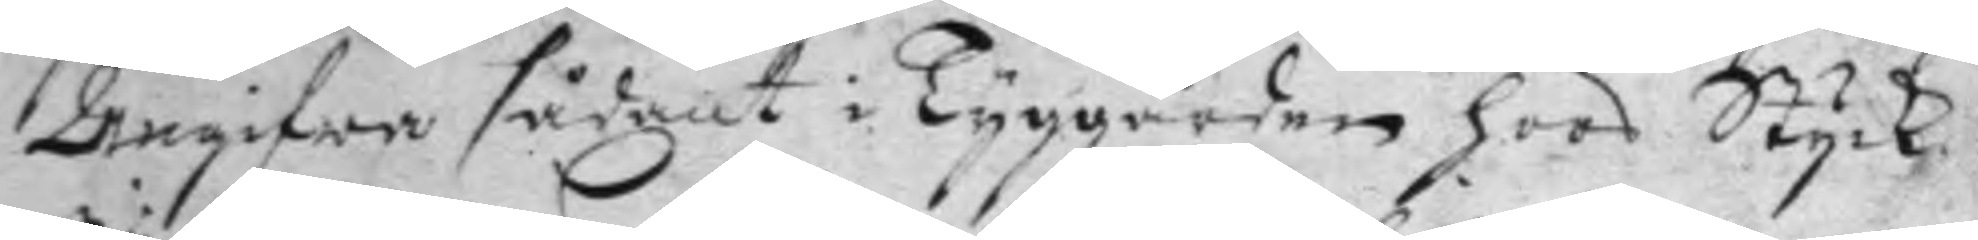Angifwa sådant i Tyggården hoos Styck¬
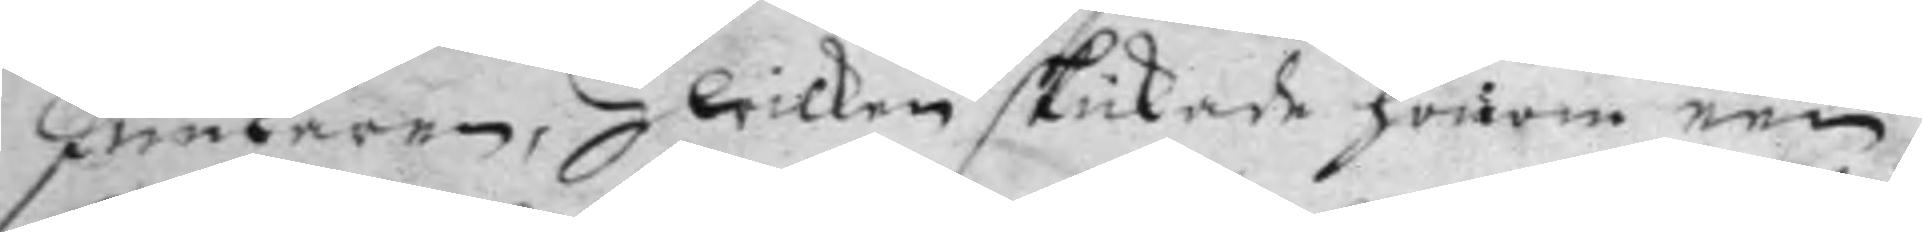Junkaren, Hwilken skickade honom een
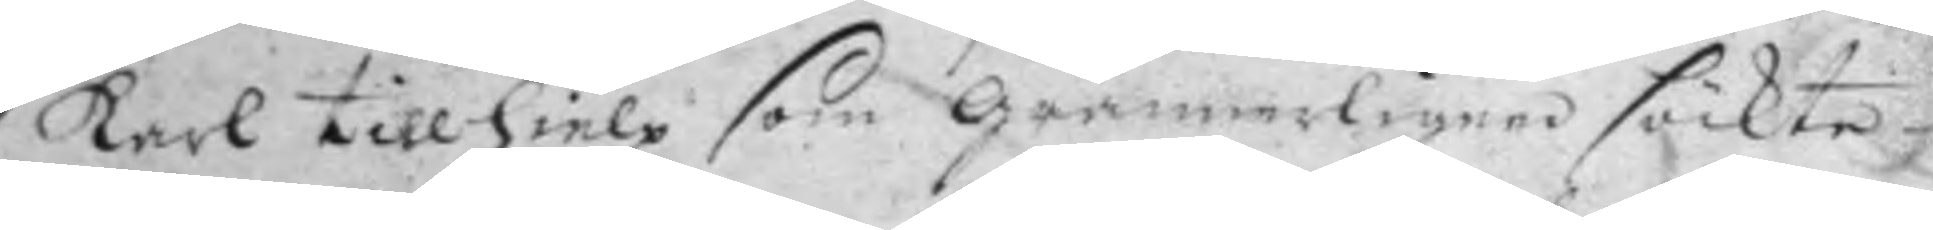karl till hielp som grannerligen söckte
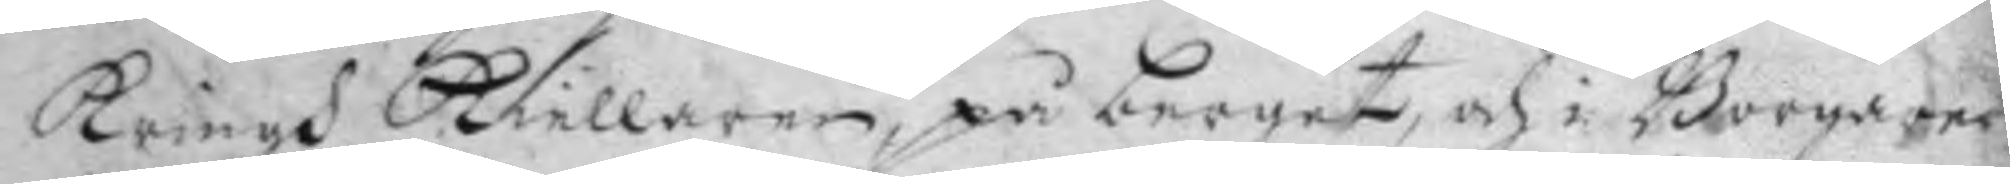kringh kiellaren på berget och i Borgare¬
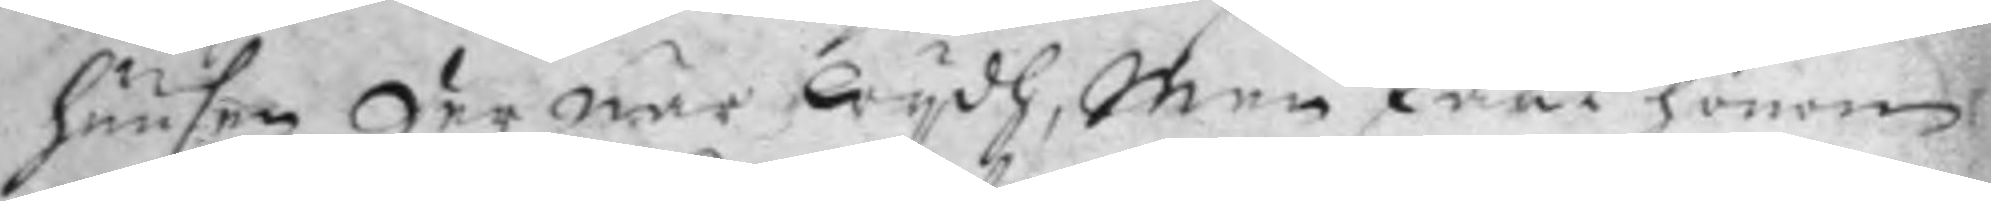huusen der när wydh, men fant honom
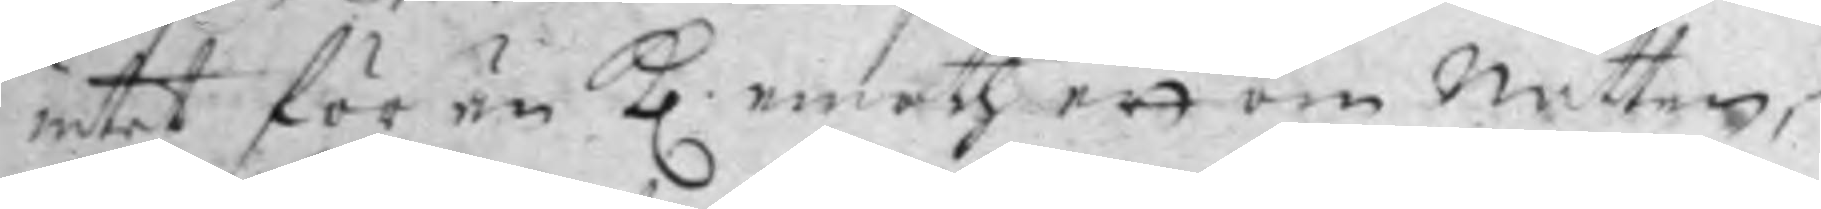intet för än Kl. emoth ett om natten,
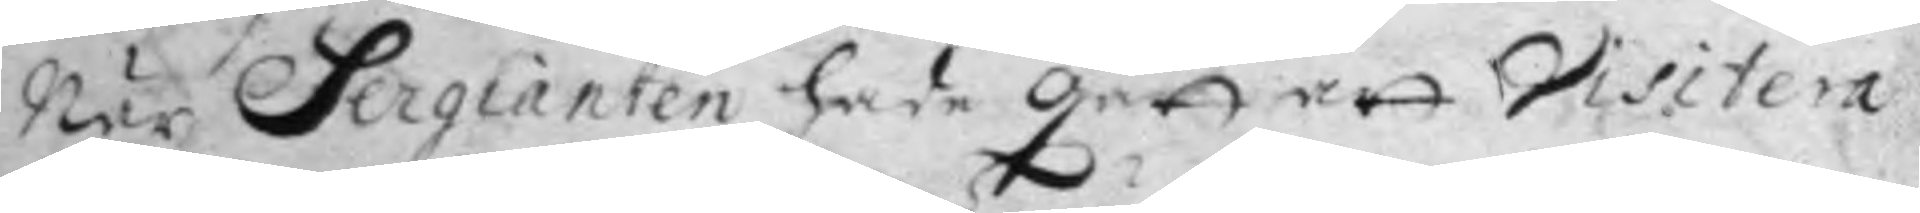när Sergianten hade gått att Visitera
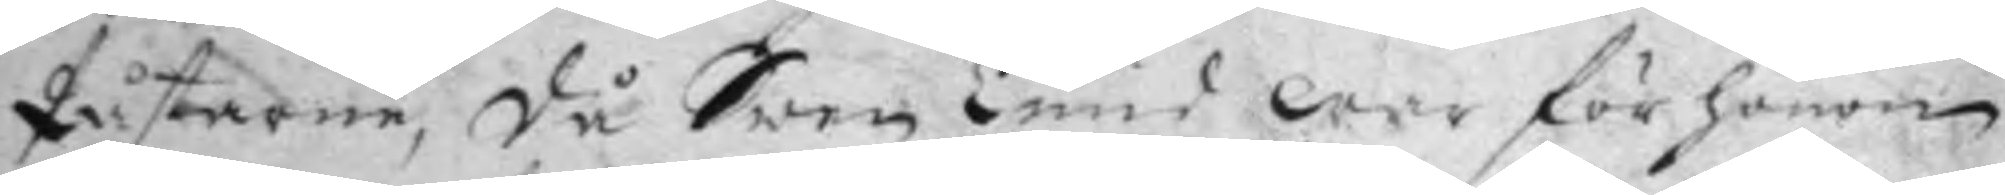påstarne, då Swen Lund war för honom
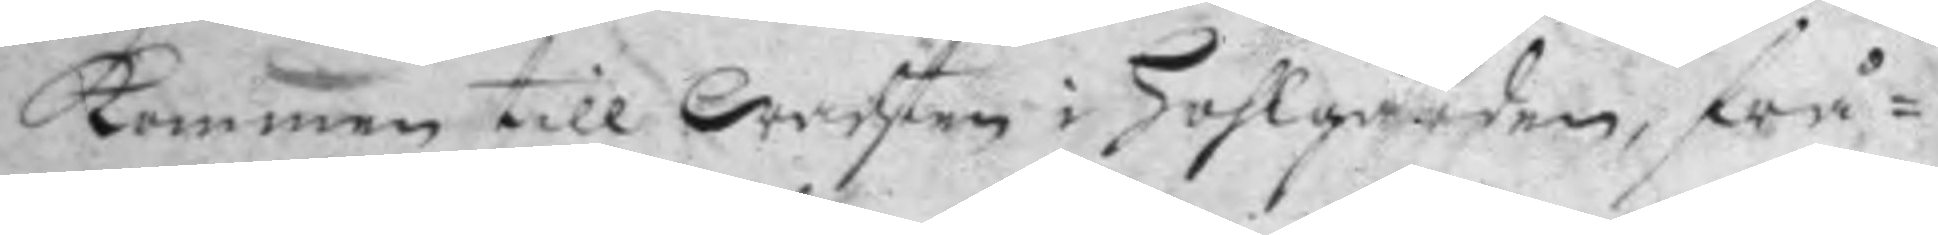kommen till wachten i Hohlgården, frå¬
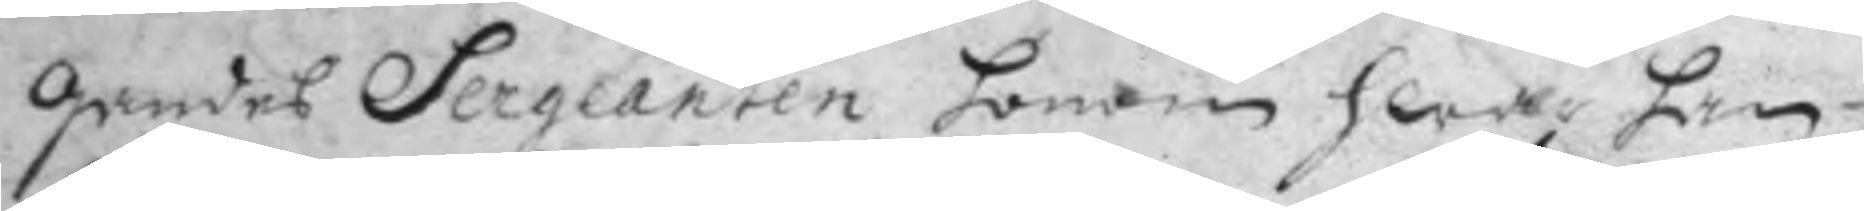gandes Sergeanten honom hwar han
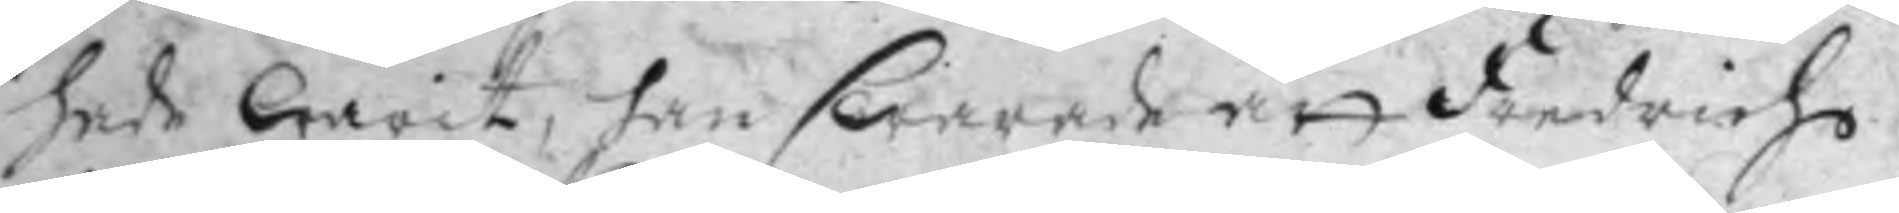hade warit, han swarade att Fredricho
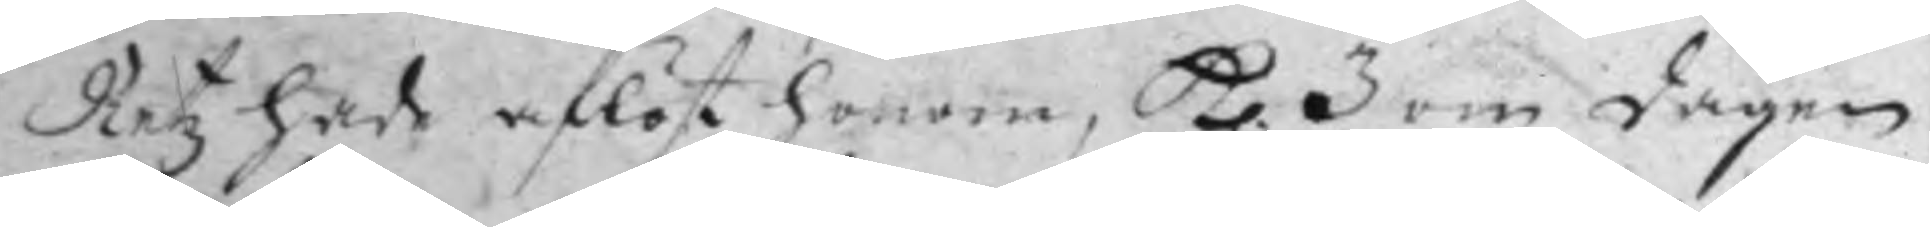Retz hade aflöst honom, Kl. 3 om dagen
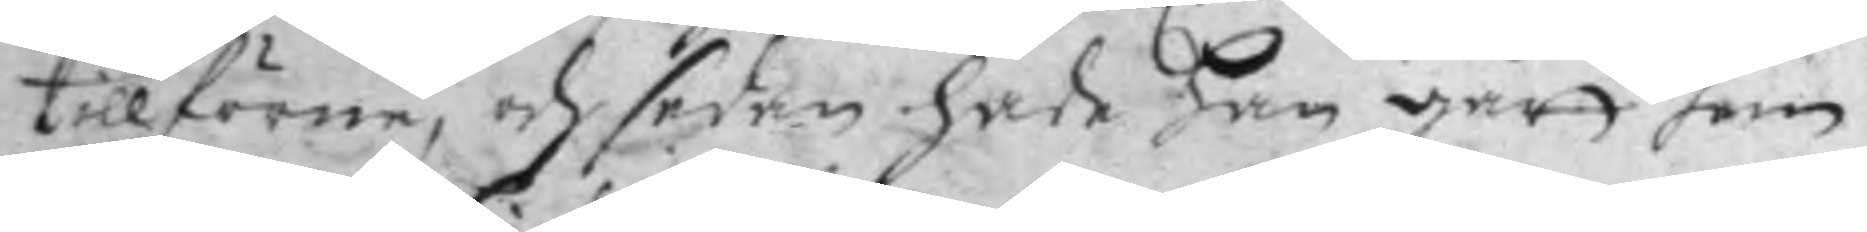tillförne, och sedan hade han gått hem
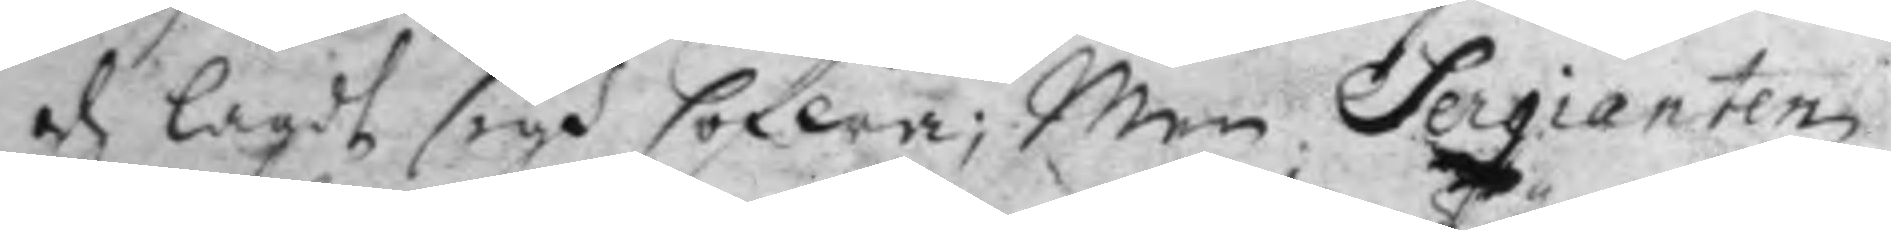och lagdt sigh sofwa; men Sergianten
